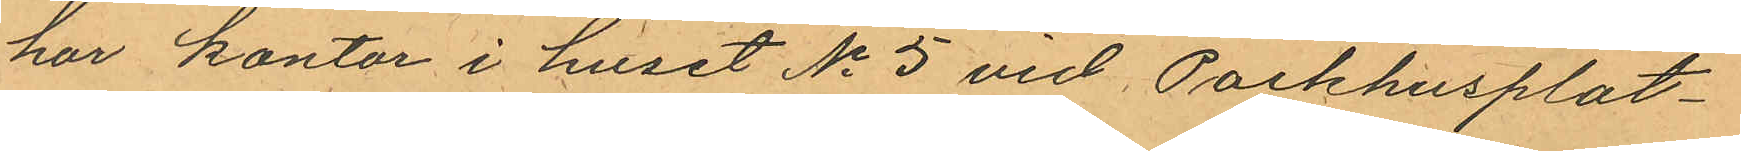har kontor i huset No 5 vid Packhusplat¬
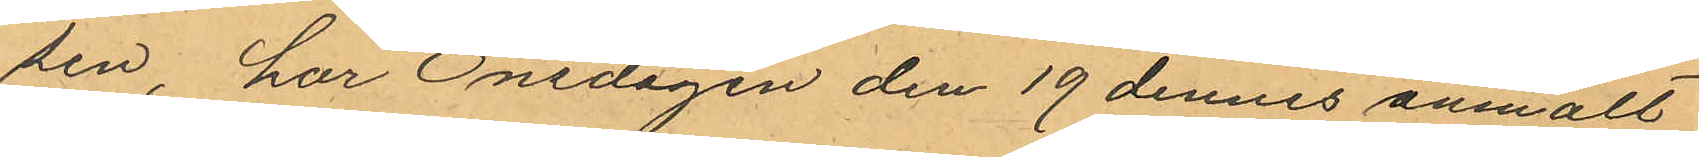sen, har Onsdagen den 19 dennes anmält
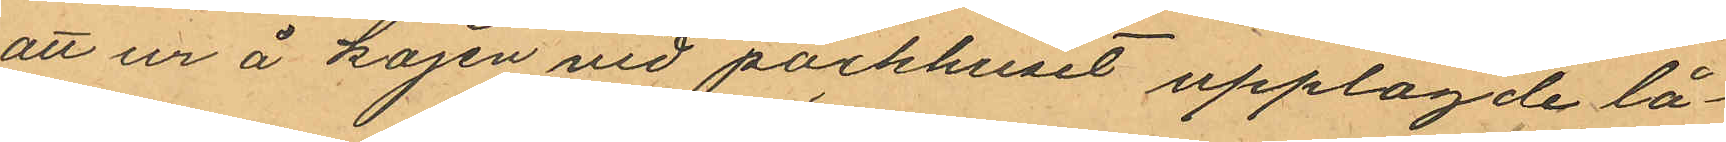att ur å kajen vid packhuset upplagde lå¬
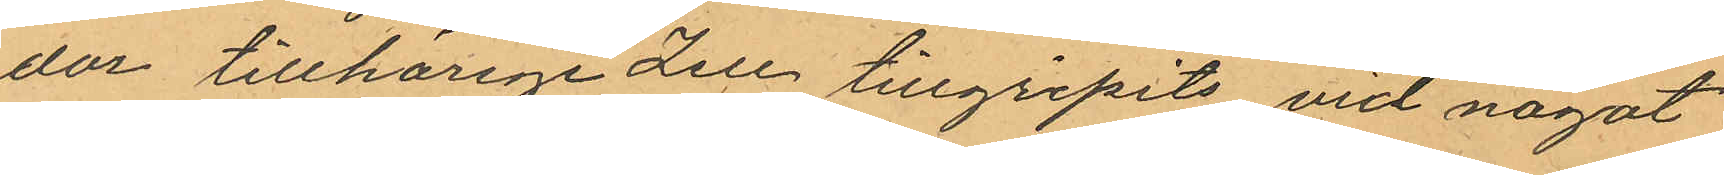dor tillhörige Zell tillgripits vid något
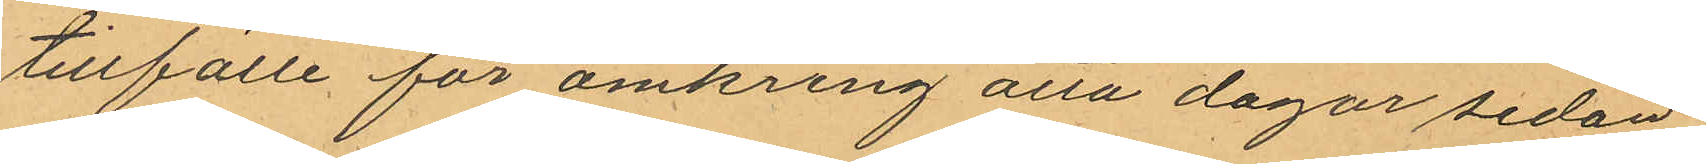tillfälle för omkring åtta dagar sedan
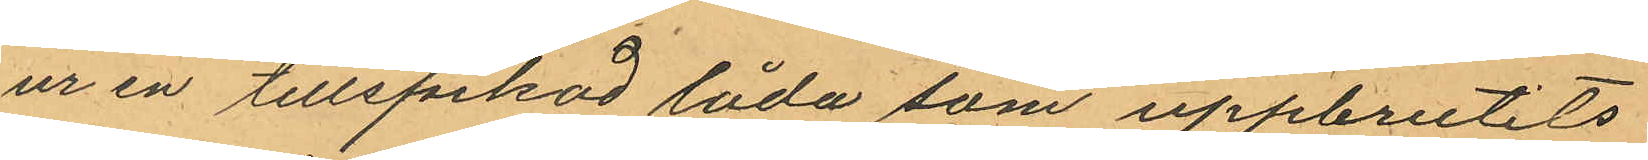ur en tillspikad låda som uppbrutits
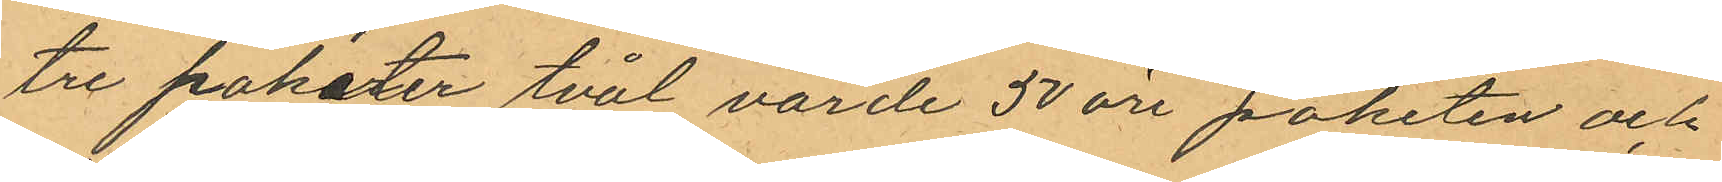tre paketer tvål värde 50 öre paketen och
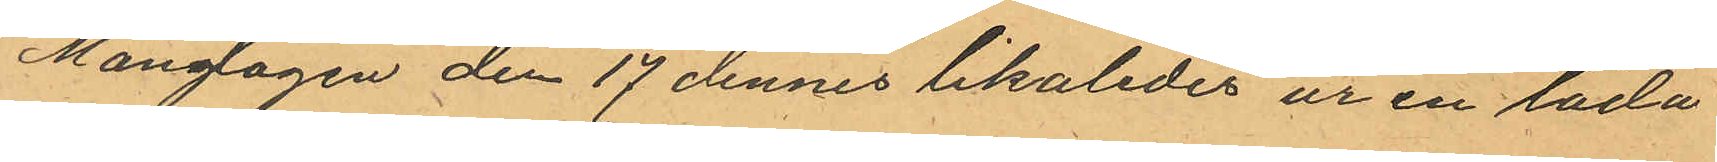Måndagen den 17 dennes likaledes ur en låda
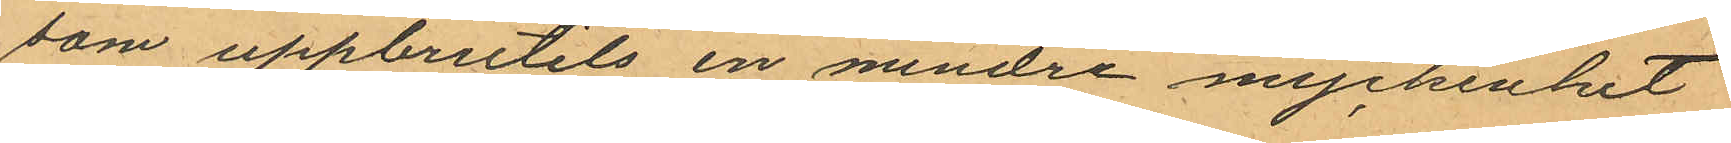som uppbrutits en mindre myckenhet
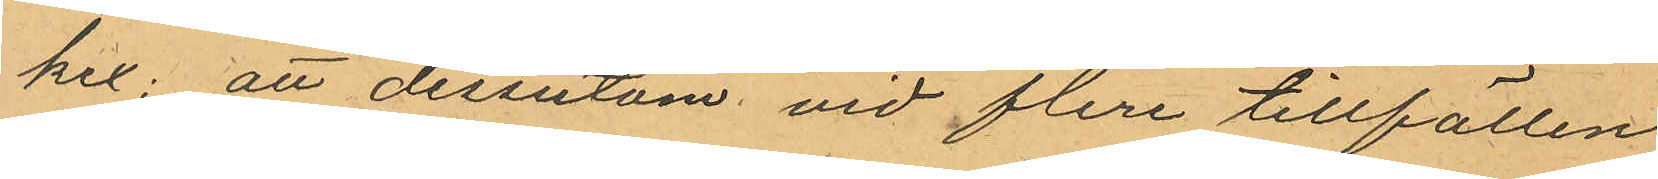kex; att dessutom vid flere tillfällen
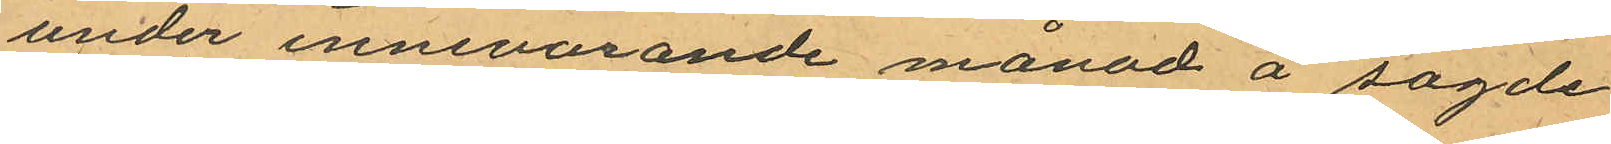under innevarande månad å sagde
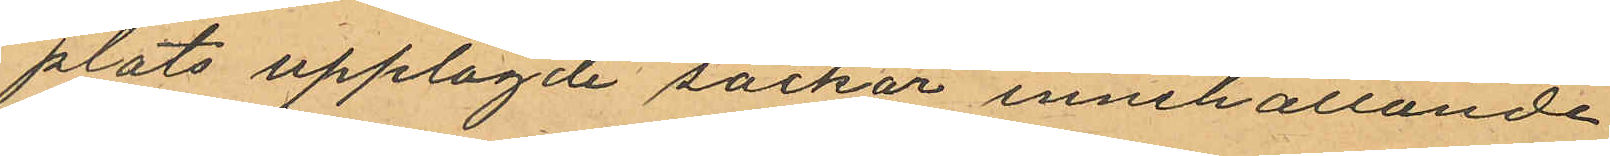plats upplagde säckar innehållande
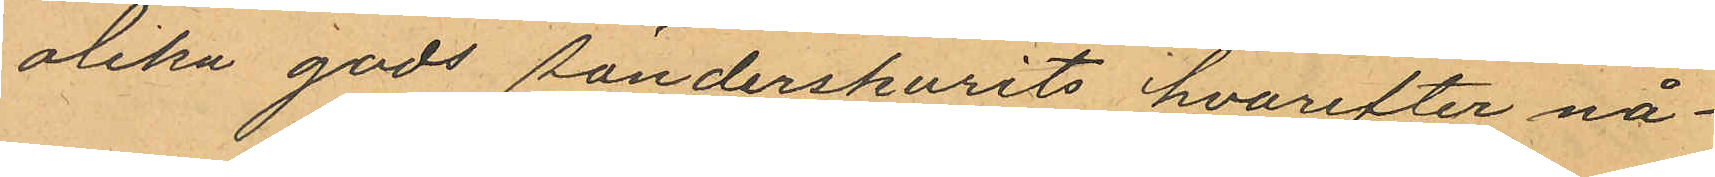olika gods sönderskurits, hvarefter nå¬
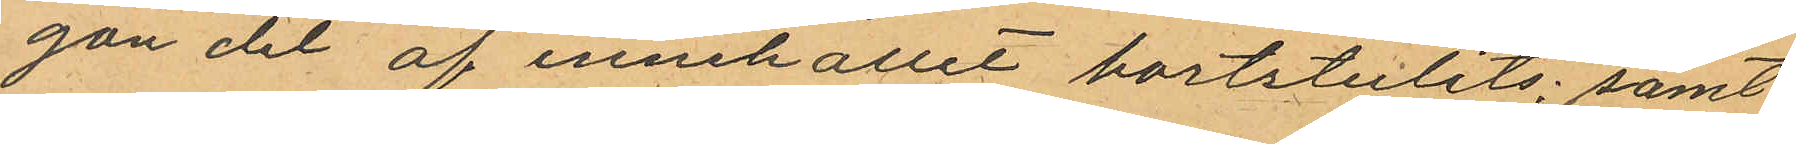gon del af innehållit bortstulits; samt
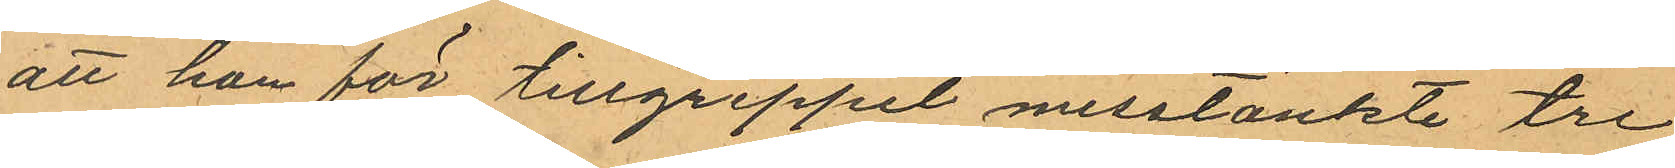att han för tillgreppet misstänkte tre
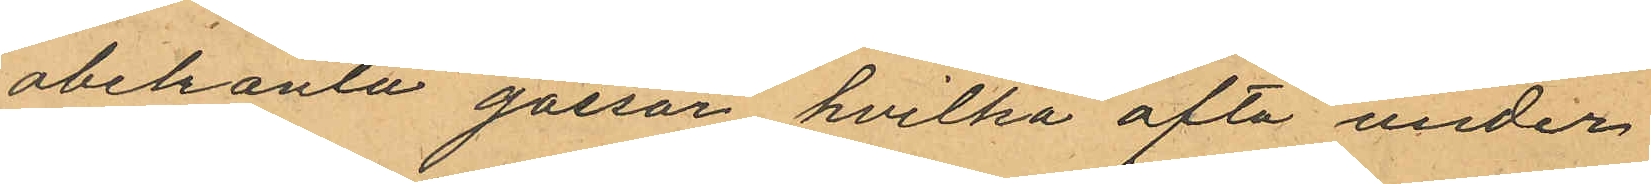obekanta gossar hvilka ofta under
